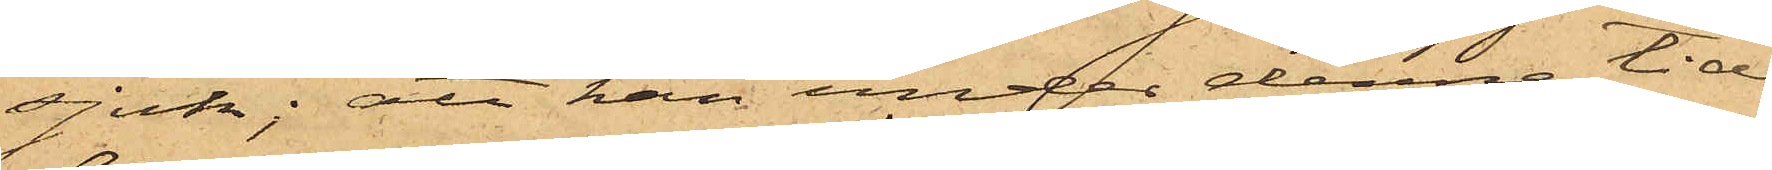sjuk; att han under denne tid
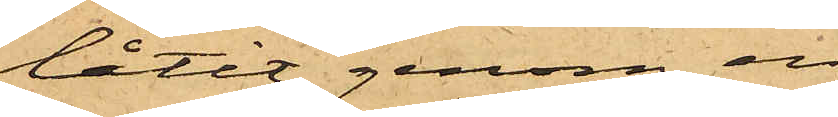låtit genom en
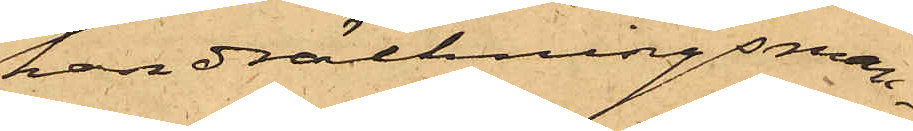handräckningsman¬
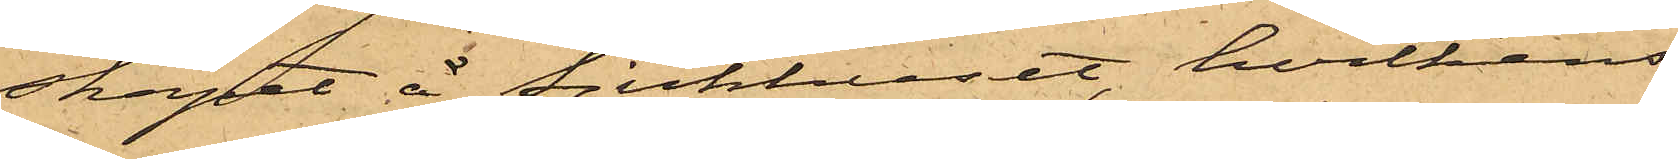skapet å Sjukhuset, hvilkens
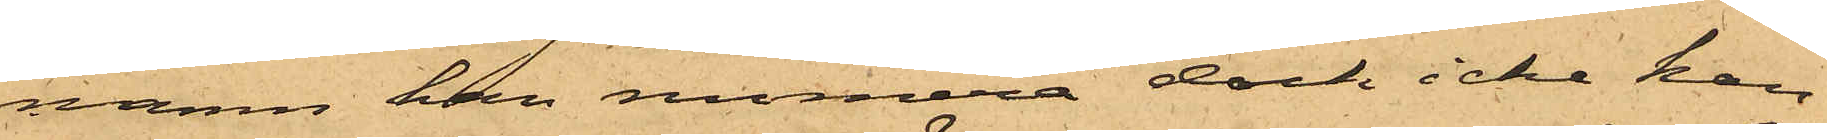namn han numera dock icke kan
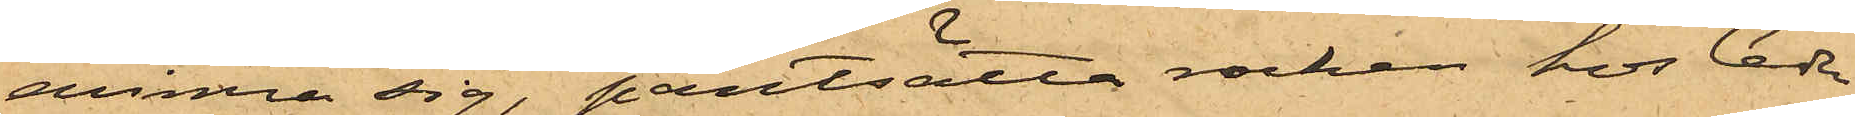erinra sig, pantsätta rocken hos Ceder¬
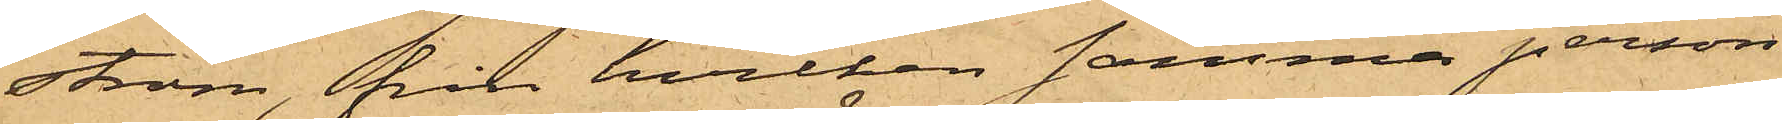ström, från hvilken samma person
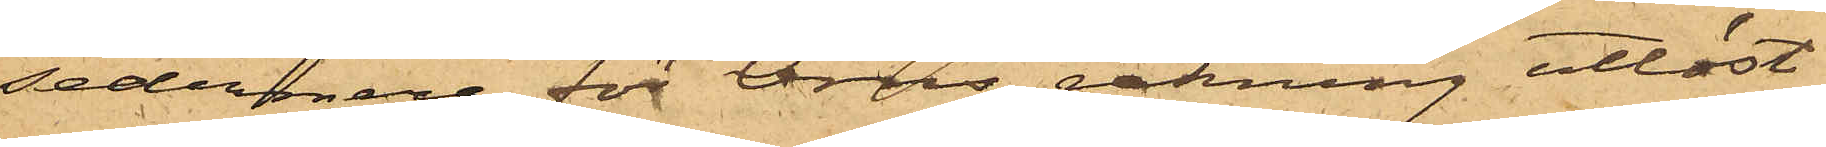sedermera för Örns räkning utlöst
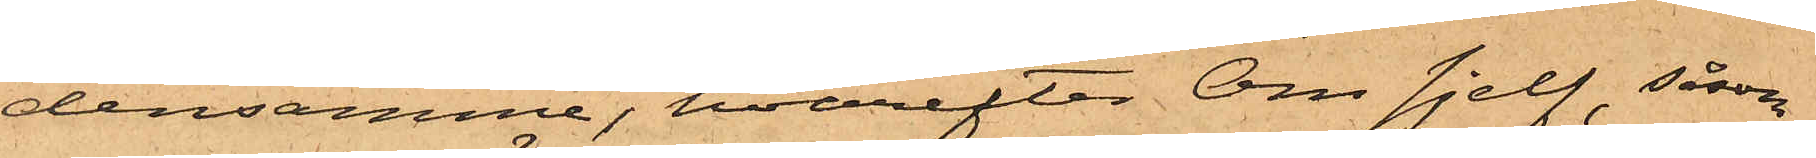densamme, hvarefter Örn sjelf, såsom
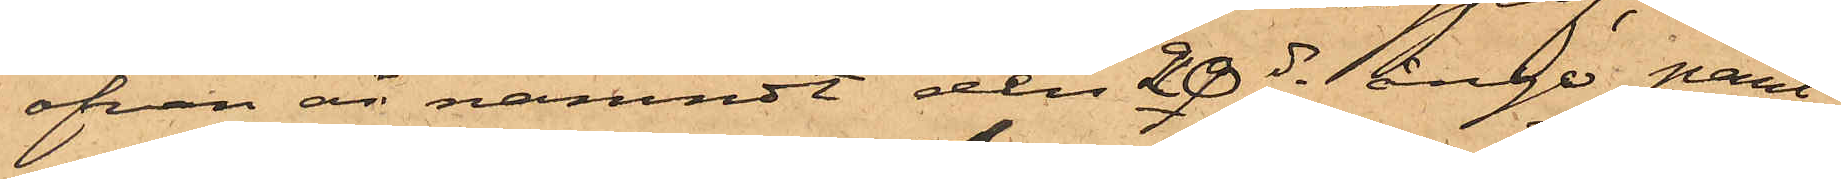ofvan är nämndt den 20 ds ånyo pant¬
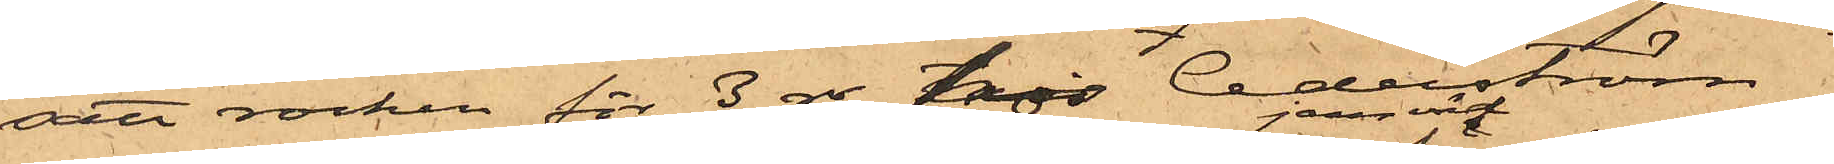satt rocken för 3 rdr hos Cederström,
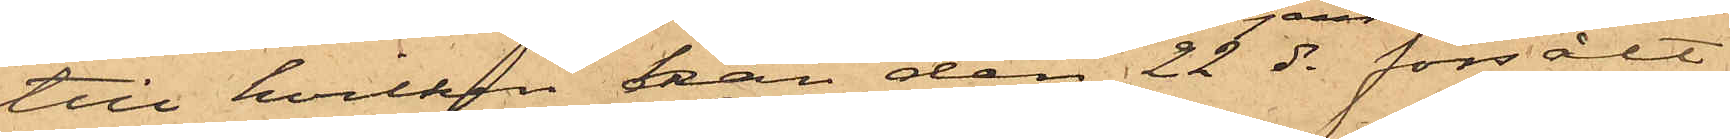till hvilken han den 22 ds jemväl försålt
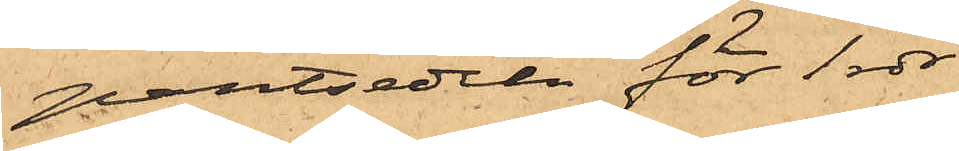pantsedeln för 1 rdr
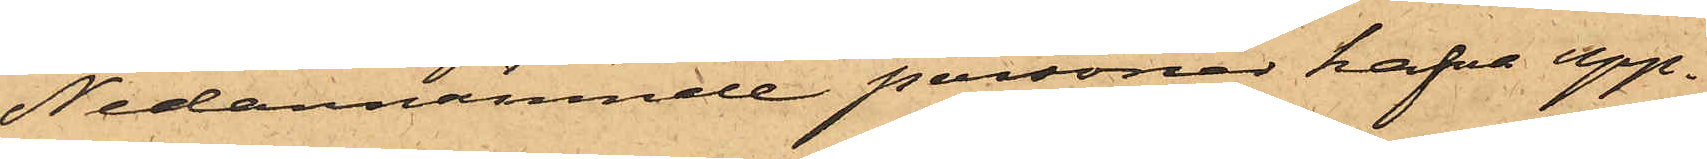Nedannämnde personer hafva upp¬
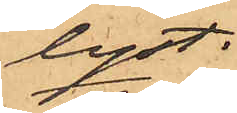lyst:
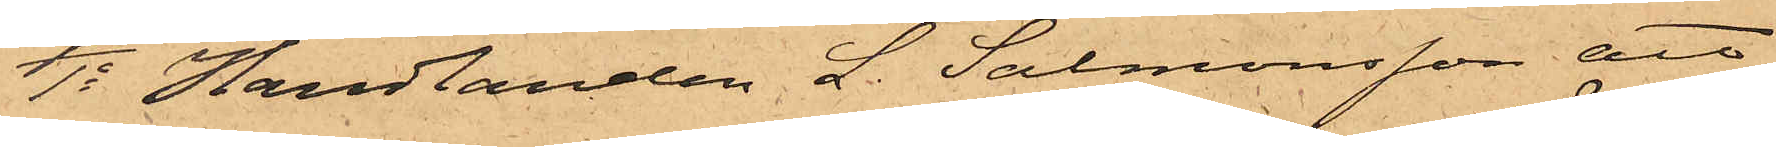1o Handlanden L. Salmonsson att
